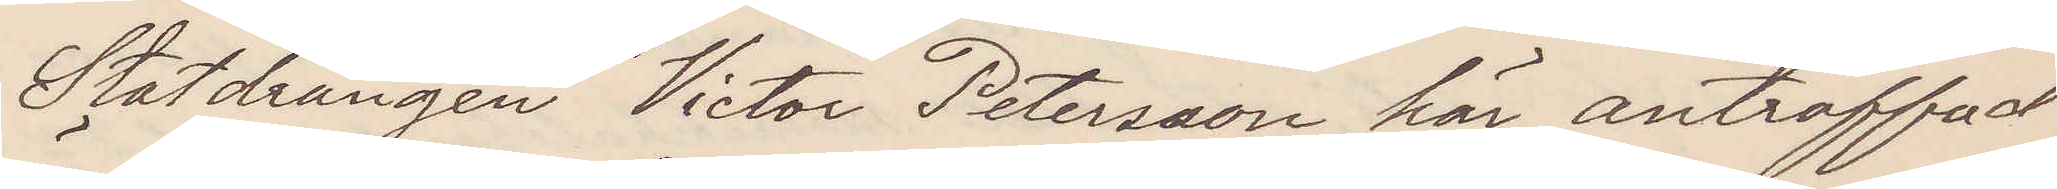Statdrängen Victor Petersson här anträffad
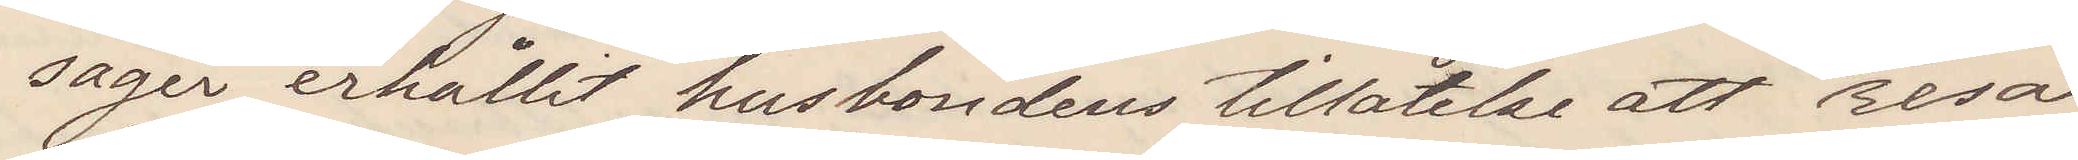säger erhållit husbondens tillåtelse att resa,
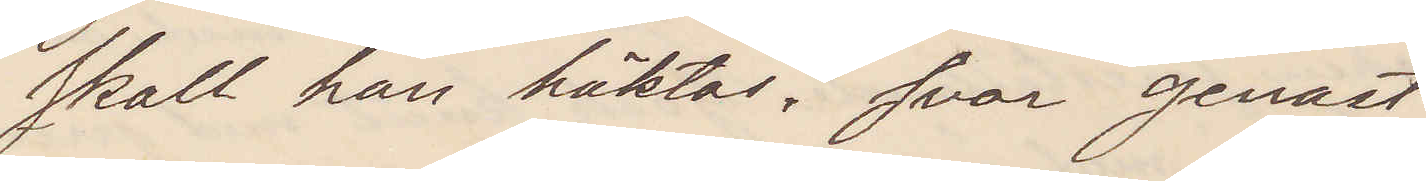skall han häktas? svar genast
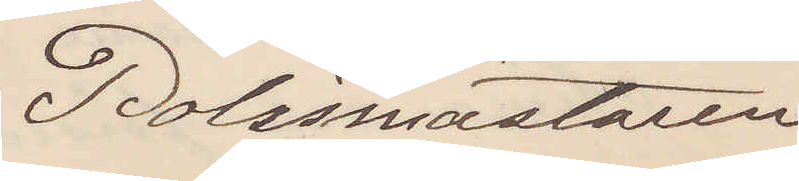Polismästaren
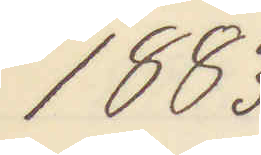1883
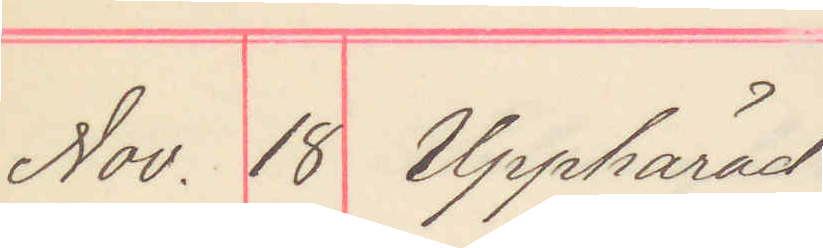Nov. 18 Upphärad
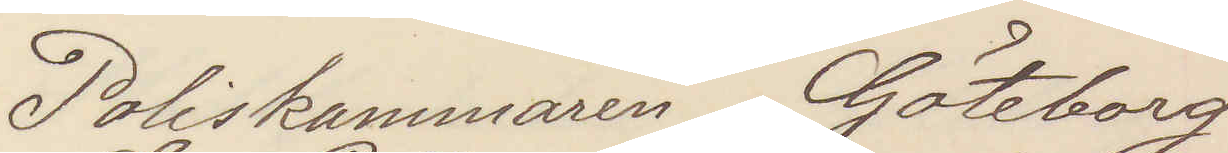Poliskammaren Göteborg
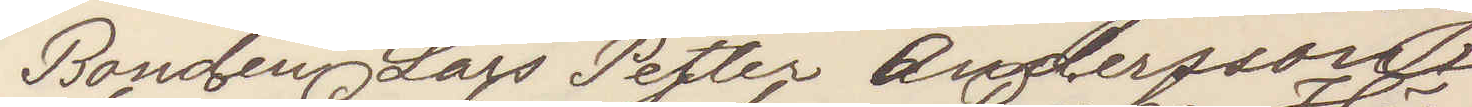Bonden Lars Petter Andersson
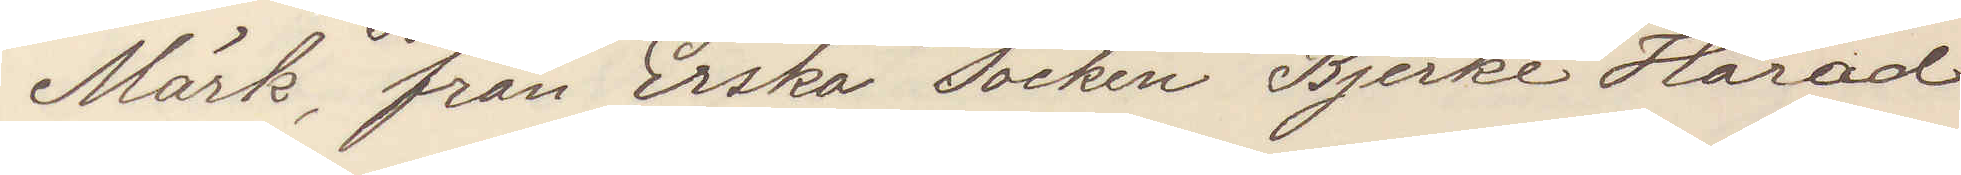Mörk, från Erska Socken Bjerke Härad
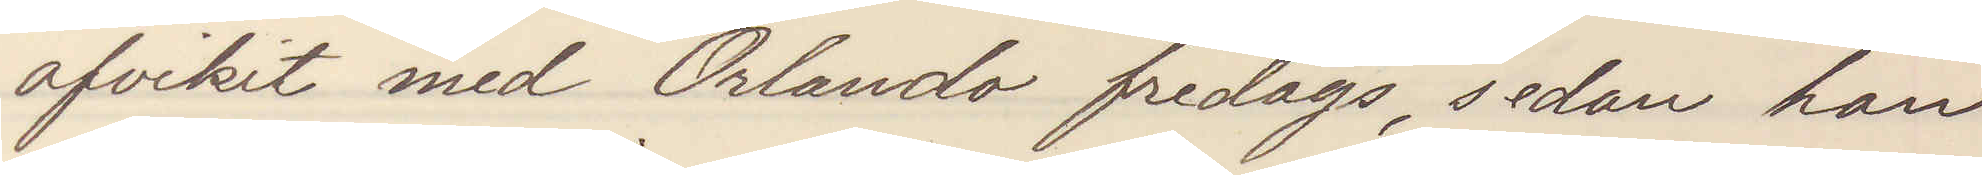afvikit med Orlando fredags, sedan han
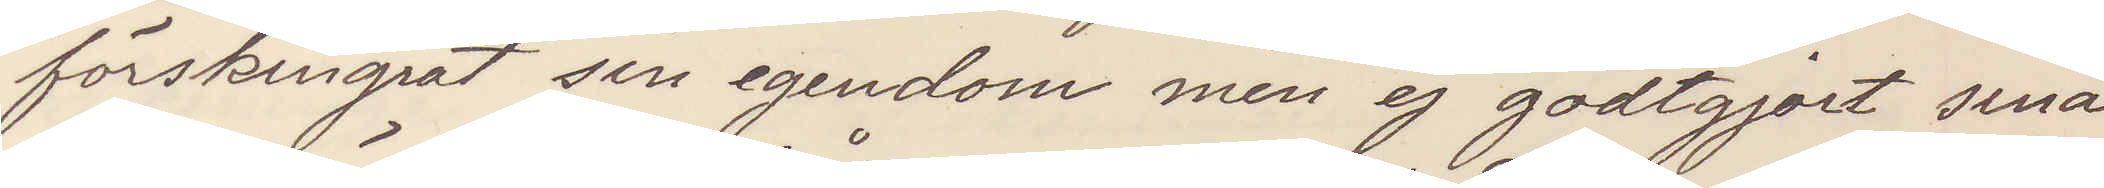förskingrat sin egendom men ej godtgjort sina
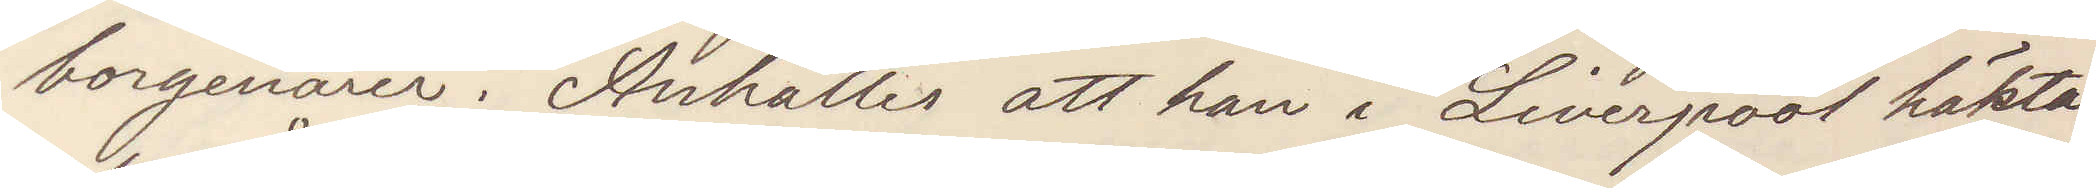borgenärer. Anhålles att han i Liverpool häktas
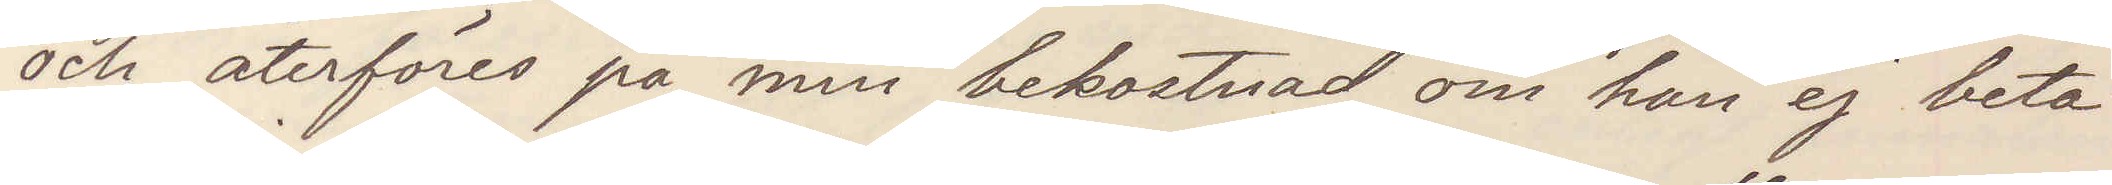och återföres på min bekostnad om han ej beta¬
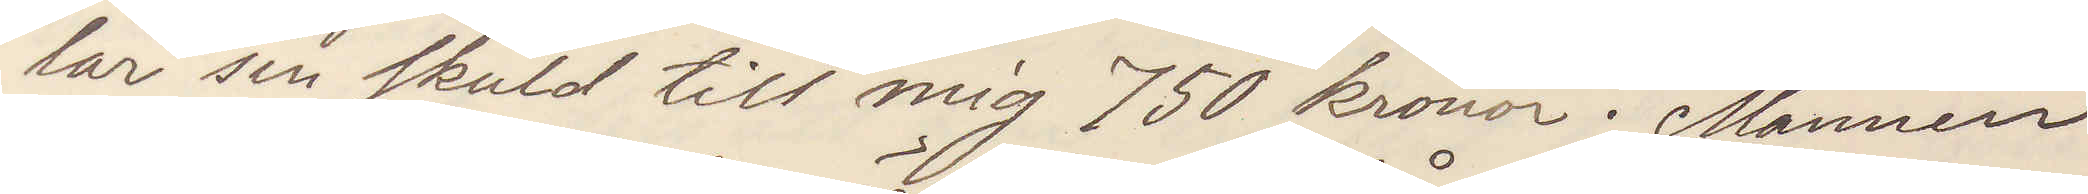lar sin skuld till mig 750 kronor. Mannen
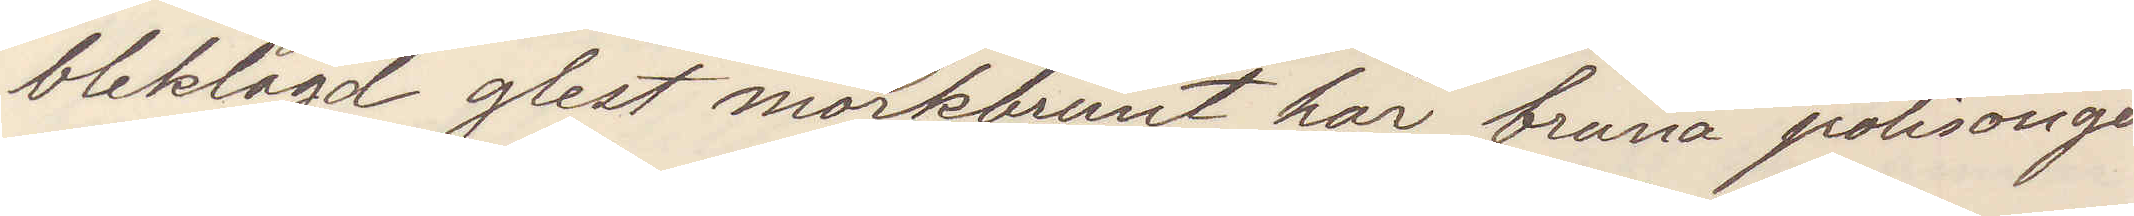bleklagd glest mörkbrunt hår bruna polisonger
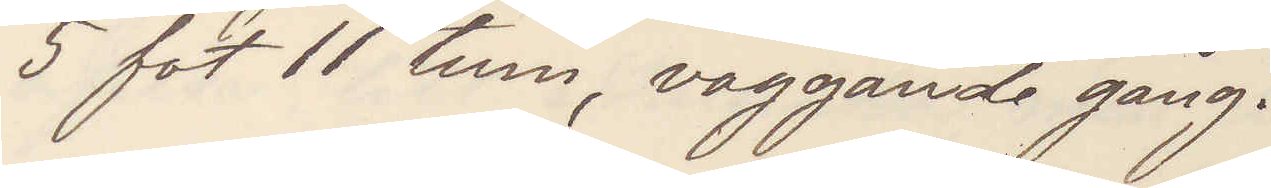5 fot 11 tum, vaggande gång.
